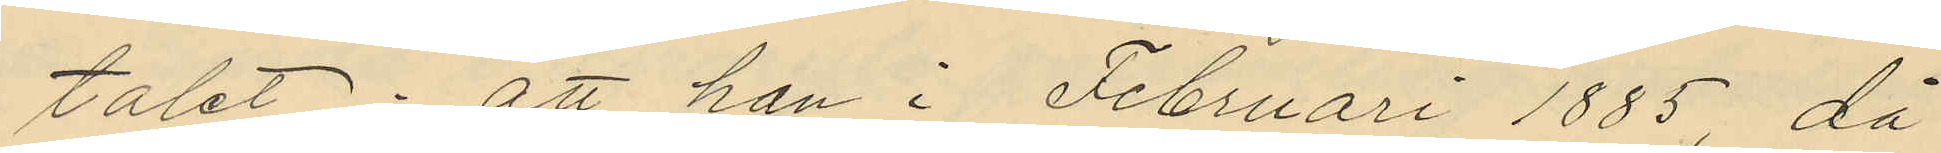talet; att han i Februari 1885, då
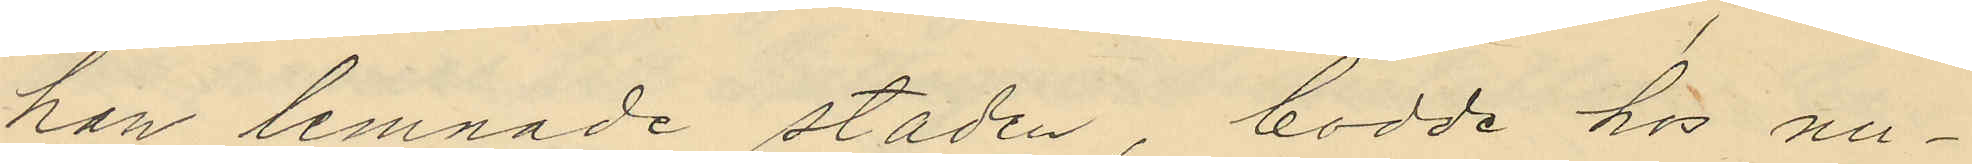han lemnade staden, bodde hos nu¬
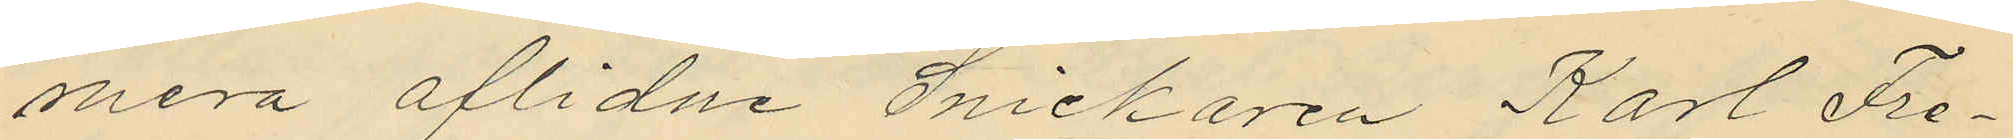mera aflidne Snickaren Karl Fre¬
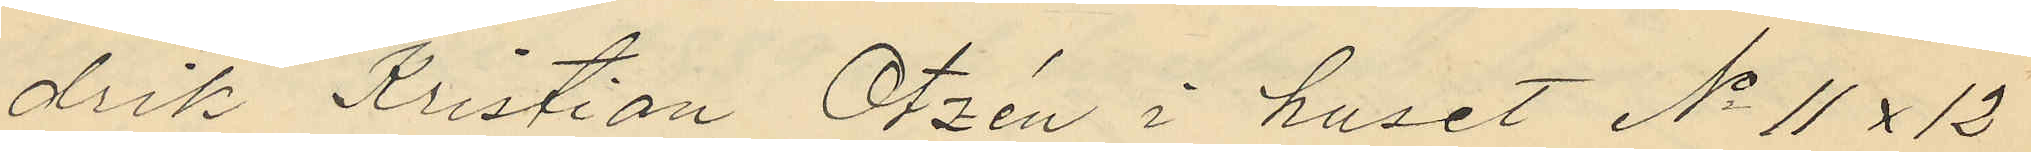drik Kristian Otzén i huset No 11 x 12
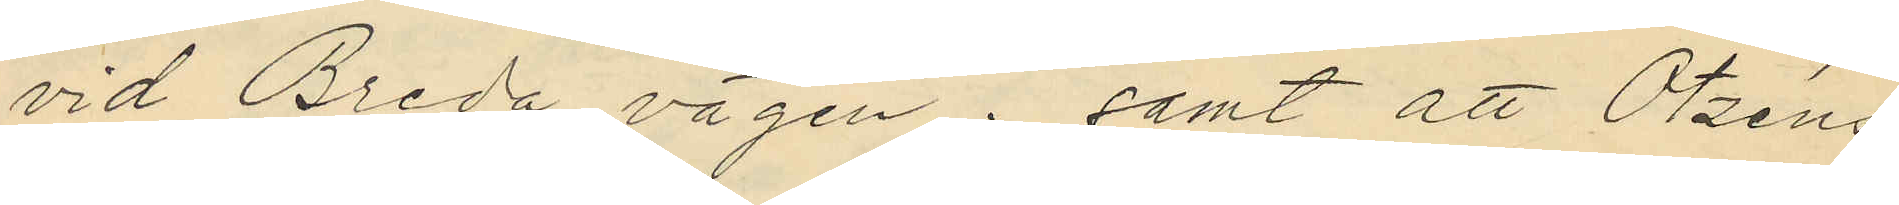vid Breda vägen; samt att Otzéns
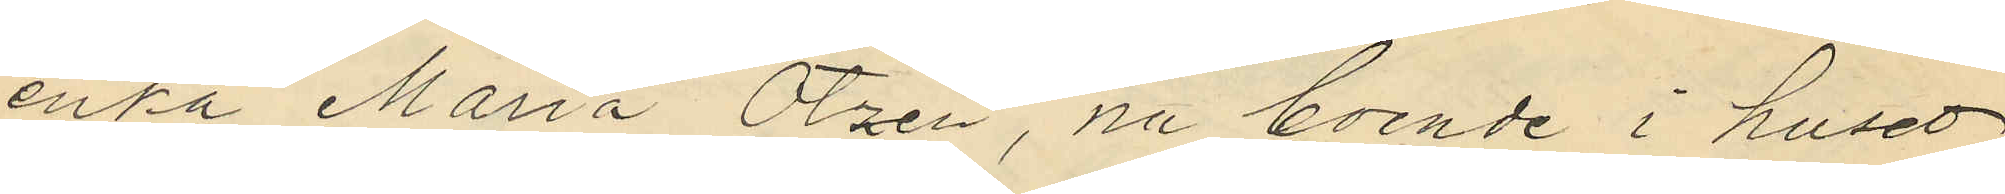enka Maria Otzén, nu boende i huset
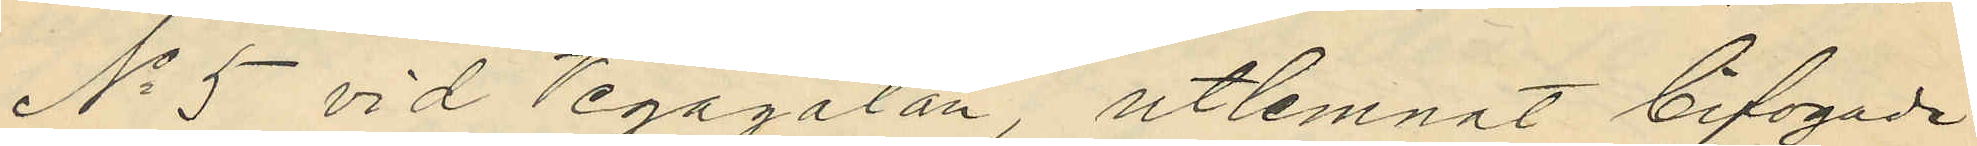No 5 vid Vegagatan, utlemnat bifogade
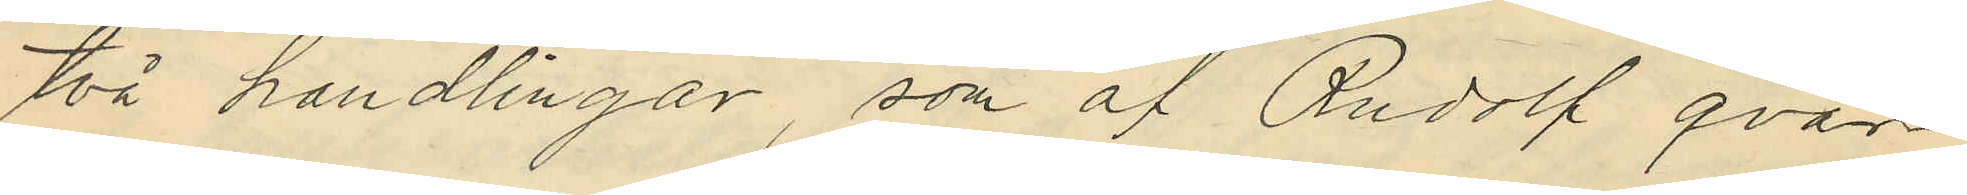två handlingar, som af Rudolf qvar¬
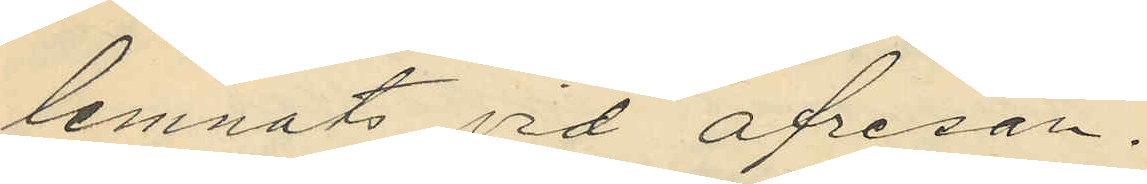lemnats vid afresan.
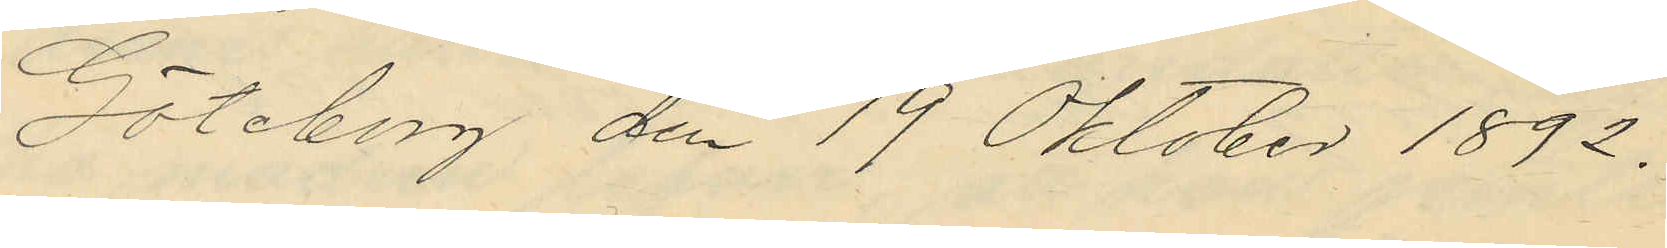Göteborg den 19 Oktober 1892.
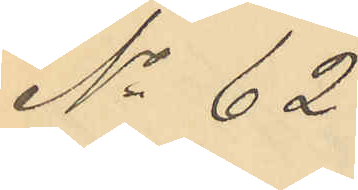No 62.
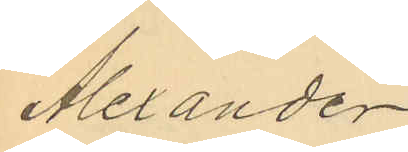Alexander
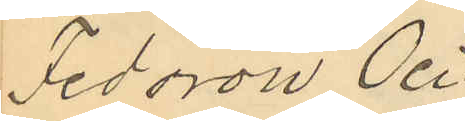Fedorow Oci¬
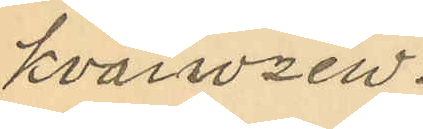kvaiwzew.
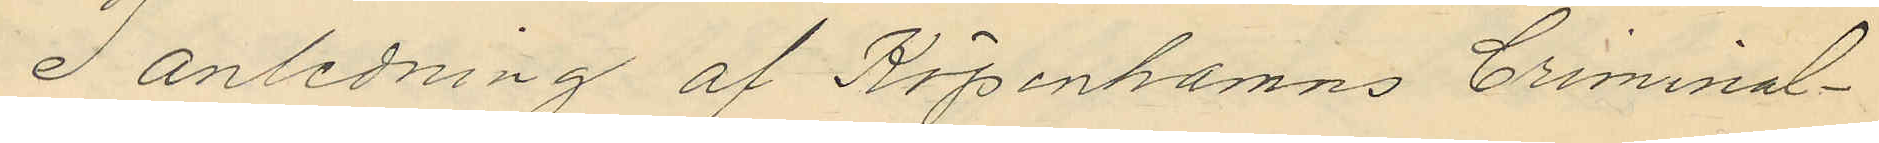I anledning af Köpenhamns Criminal¬
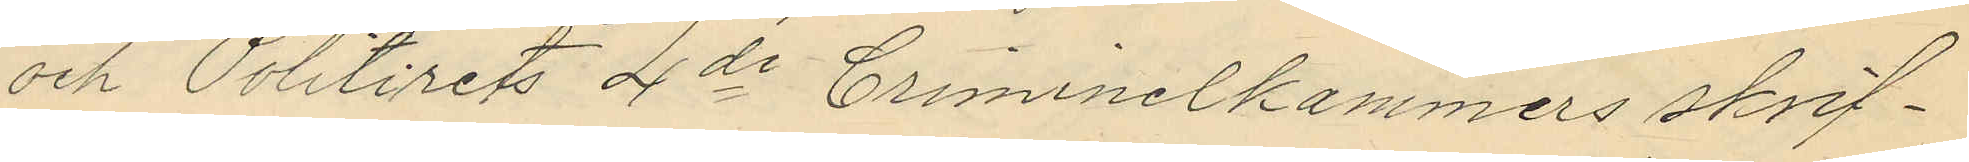och Politirets 4de Criminelkammers skrif¬
